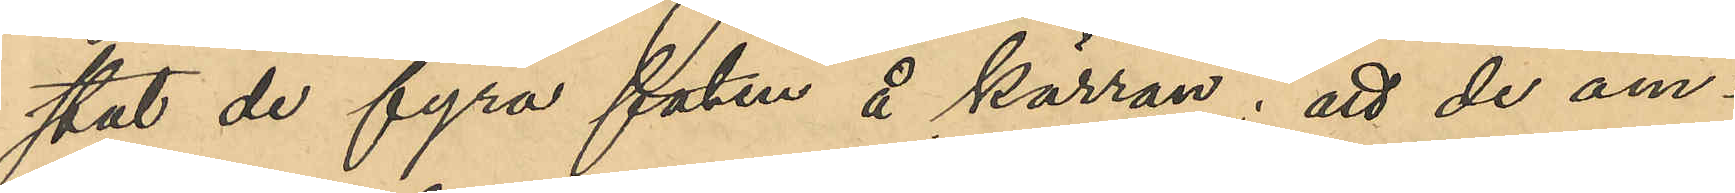stat de fyra faten å kärran; att de äm¬
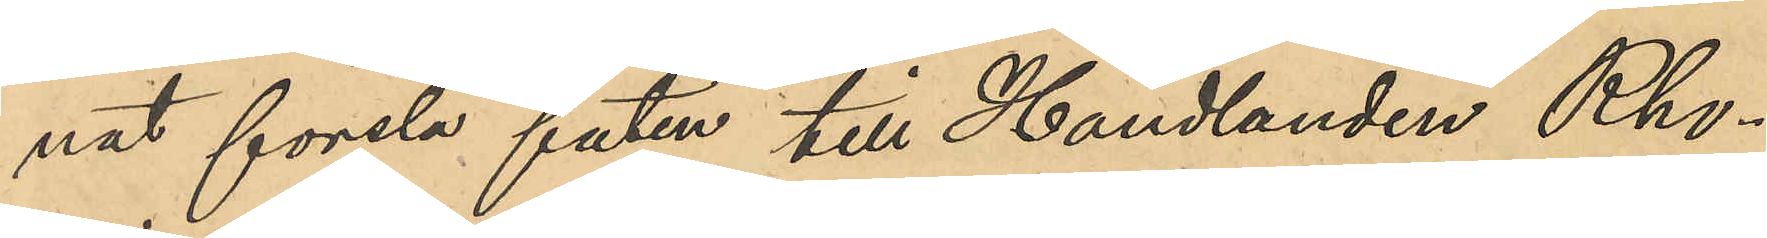nat forsla faten till Handlanden Rho¬
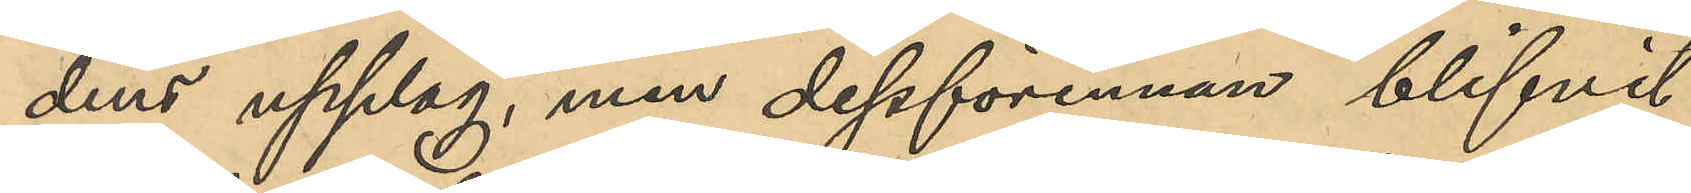dins upplag, men dessförinnan blifvit
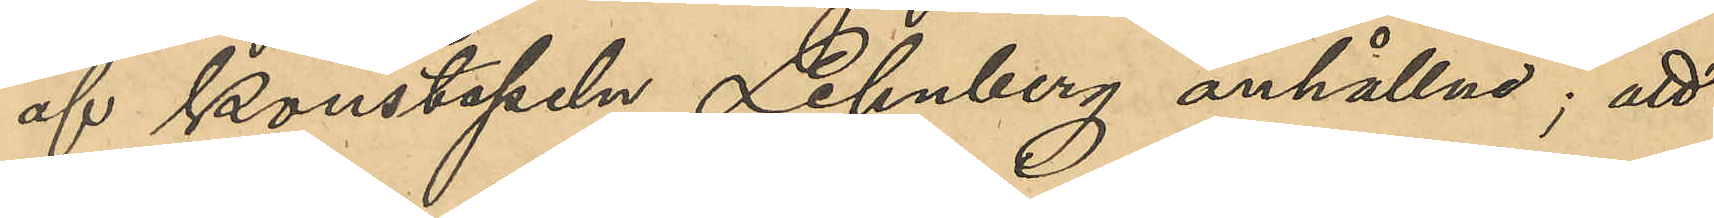af konstapeln Lehnberg anhållna; att
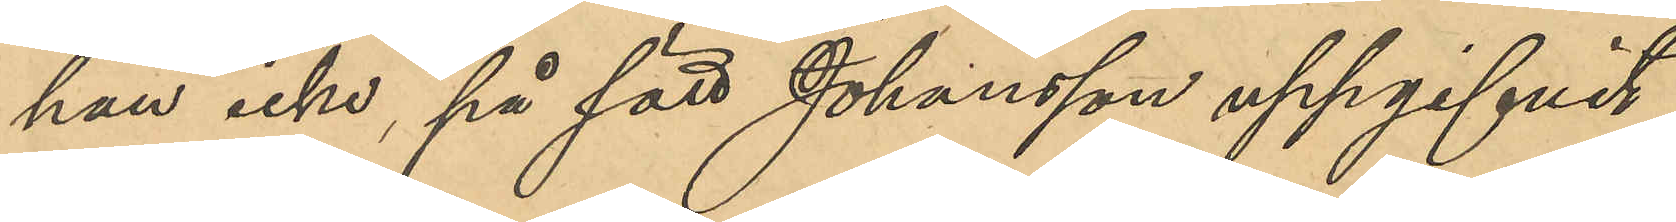han icke på sätt som Johansson uppgifvit,
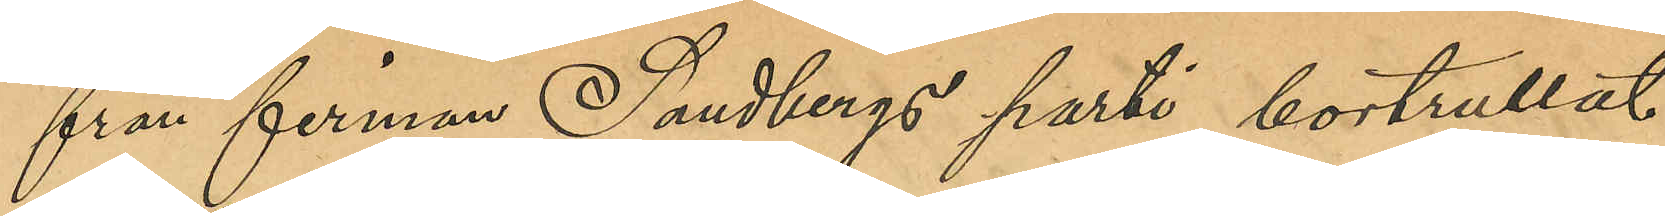från firman Sandbergs parti bortrullat
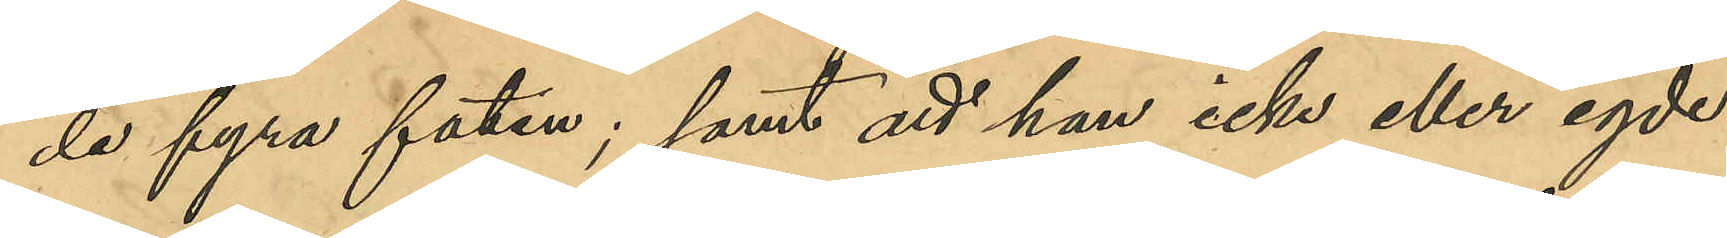de fyra faten; samt att han icke eller egde
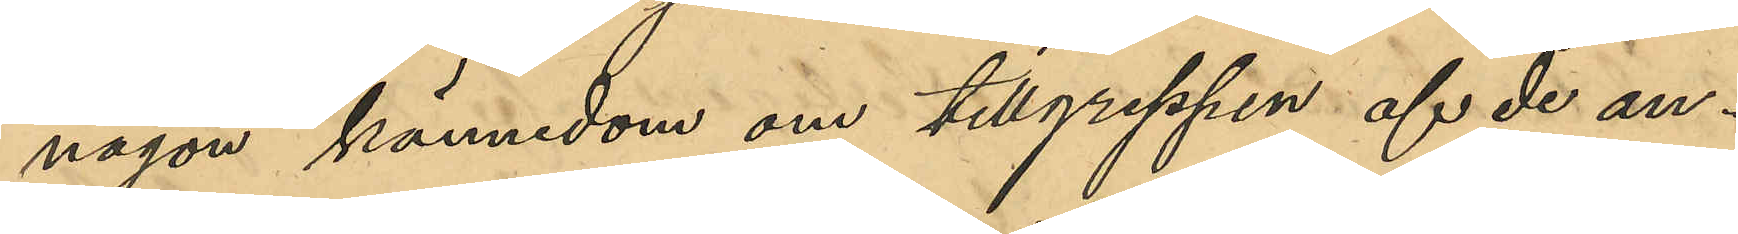någon kännedom om tillgreppen af de an¬
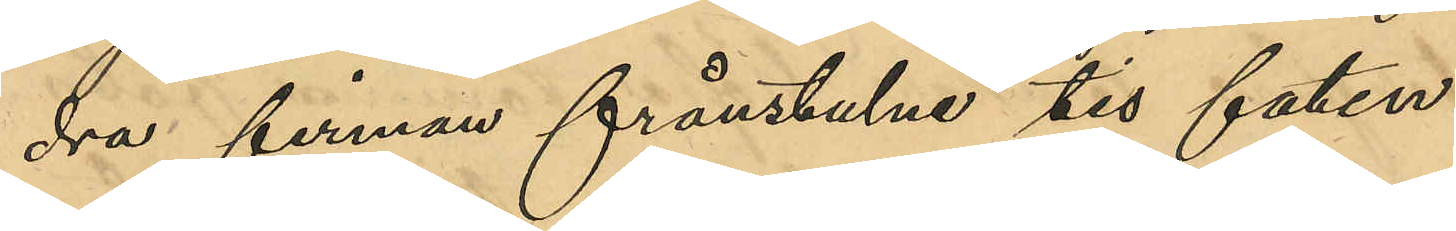dra firmans frånstulne tio faten.
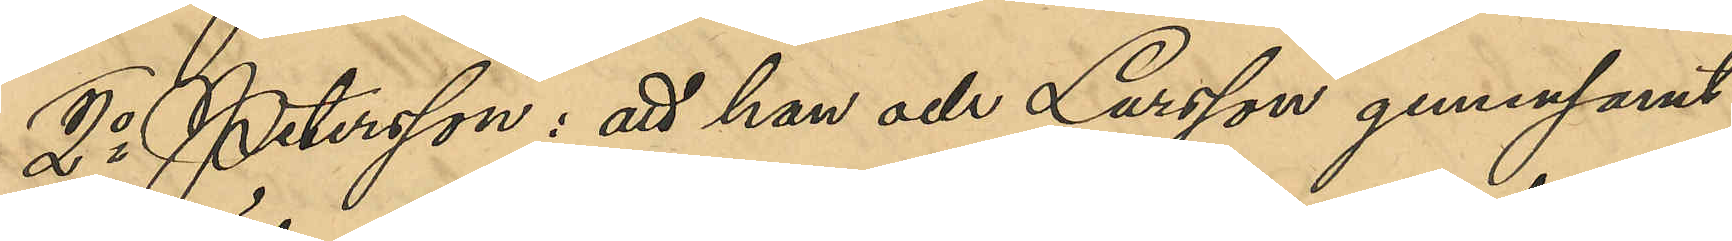2o Petersson: att han och Larsson gemensamt
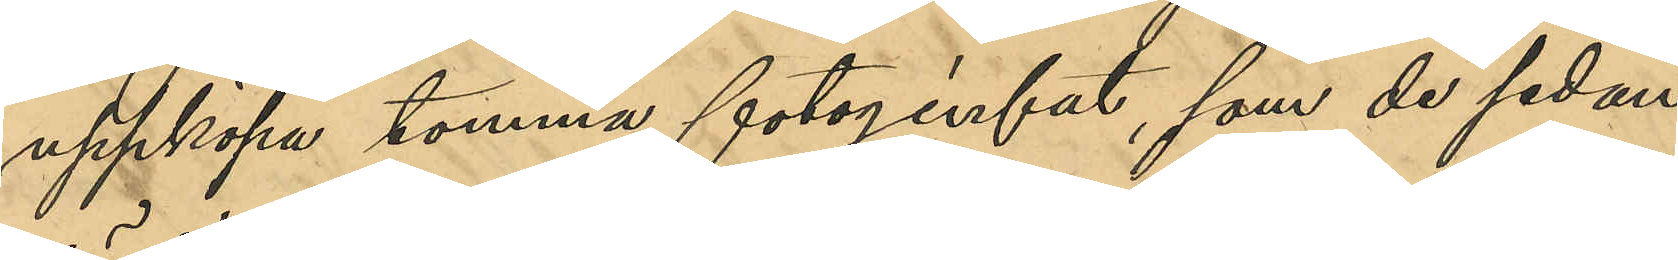uppköpa tomma fotogenfat, som de sedan
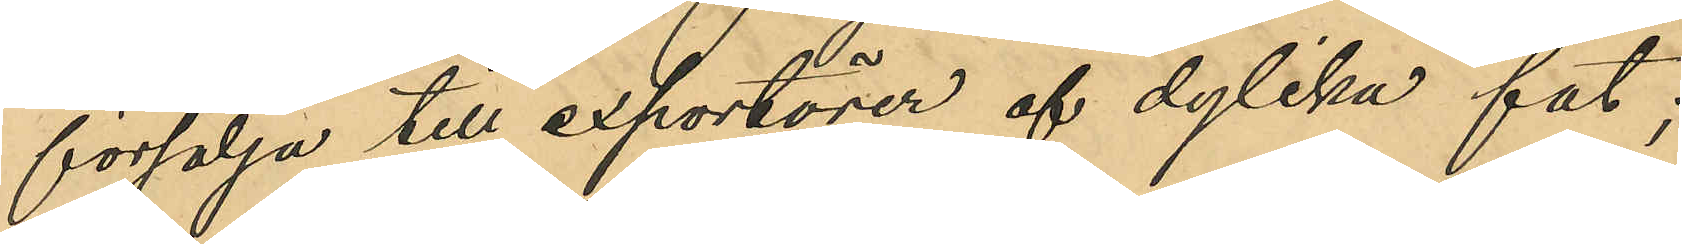försälja till exportörer af dylika fat;
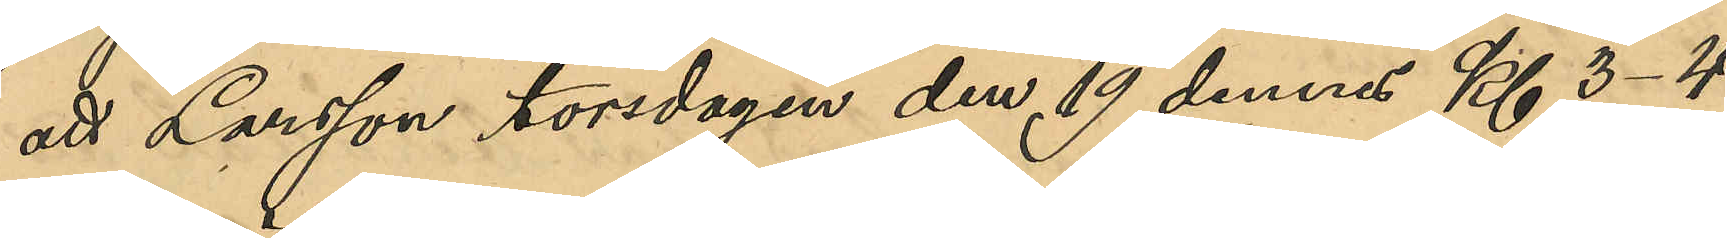att Larsson, torsdagen den 19 dennes Kl 3-4
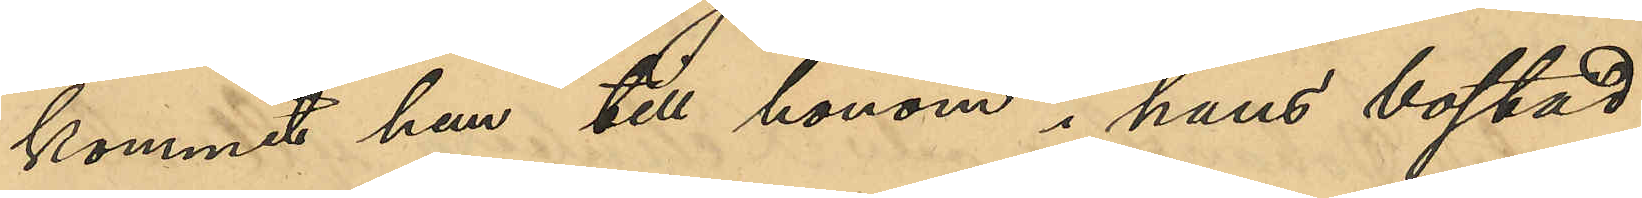kommit hem till honom i hans bostad
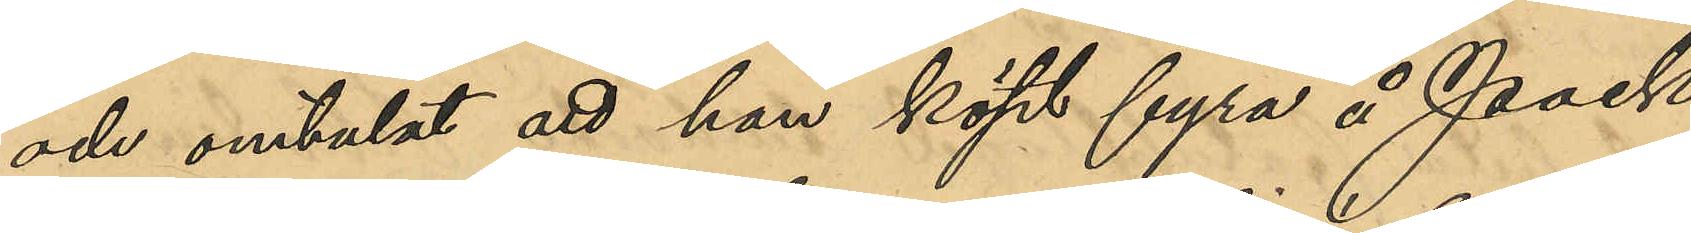och omtalat att han köpt fyra å Pack¬
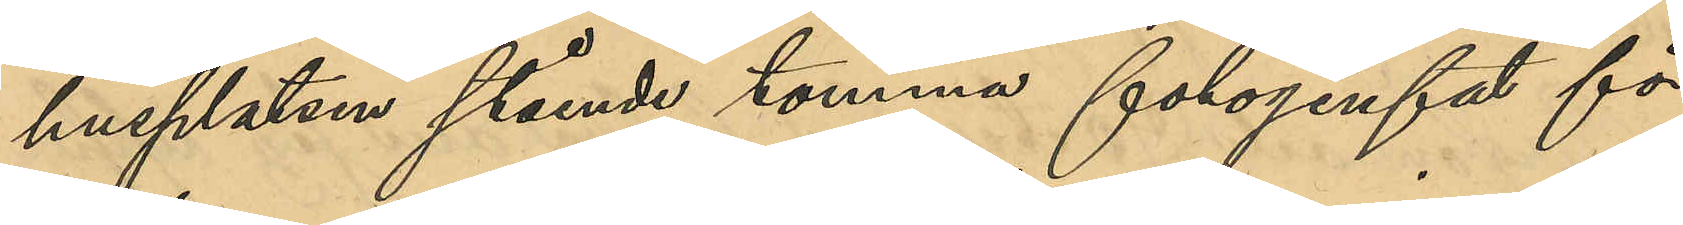husplatsen stående tomma fotogenfat för
